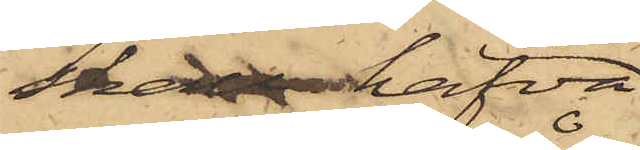skall hafva
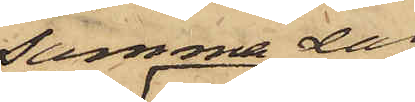samma dag
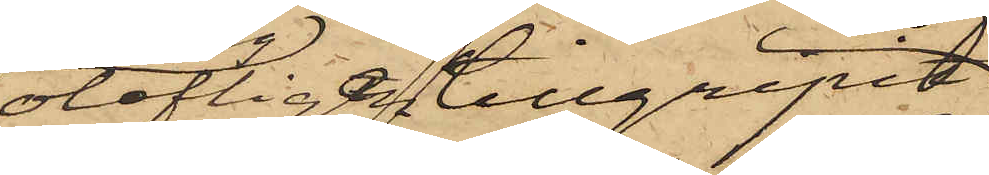olofligen tillgripit
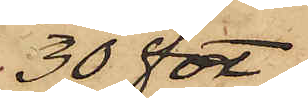30 fot
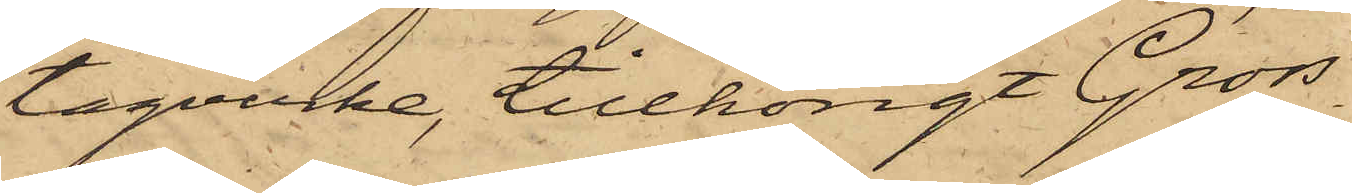tågvirke, tillhörigt Gross¬
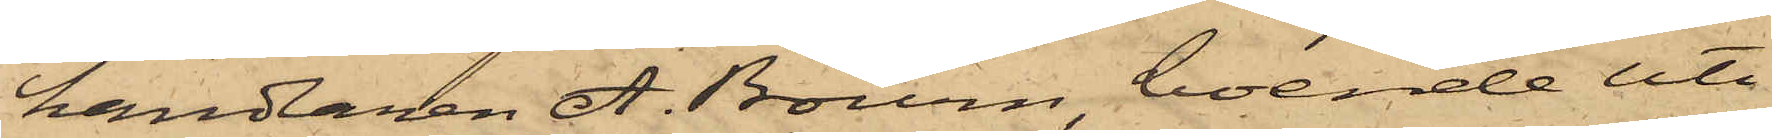handlaren A. Bourn, boende uti
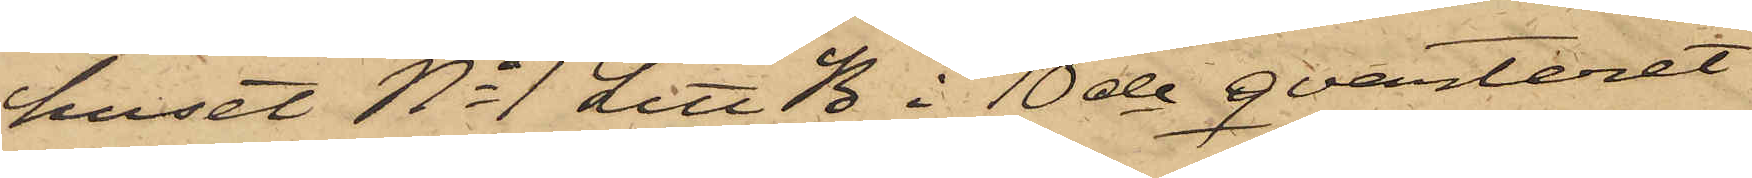huset No 1 Litt B i 10de qvarteret
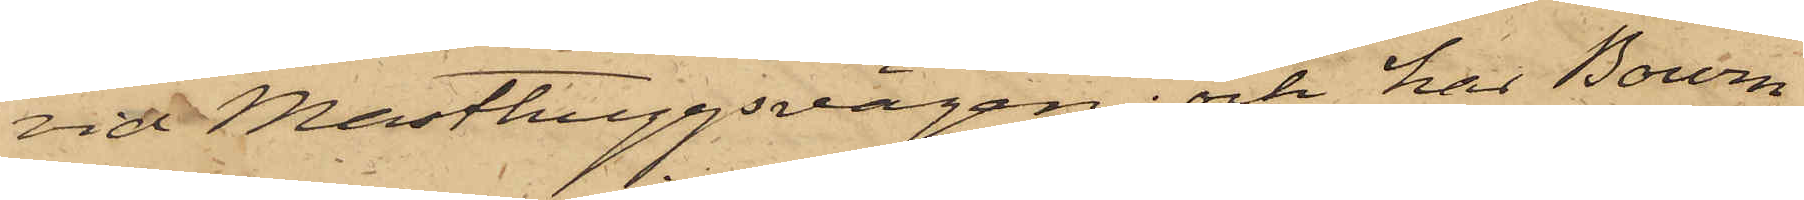vid Masthuggsvägen; och har Bourn
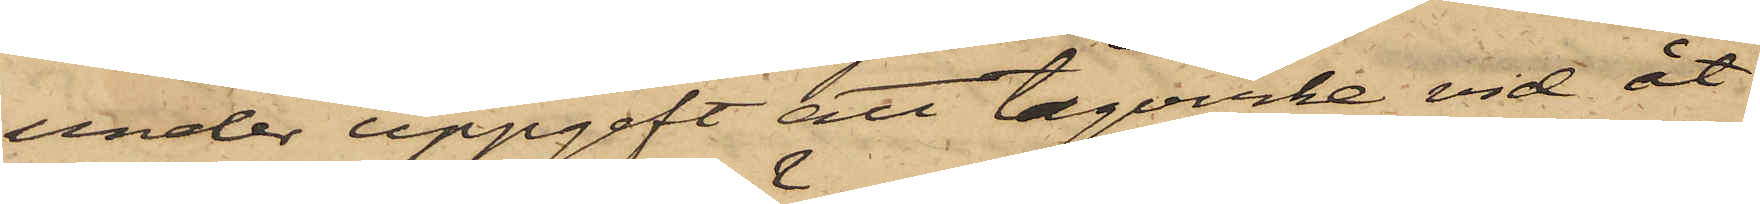under uppgift att tågvirke vid åt¬
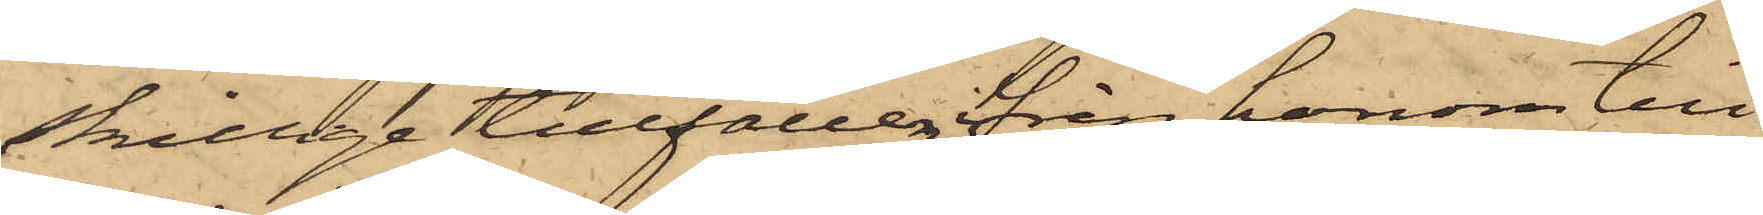skillige tillfällen från honom till¬
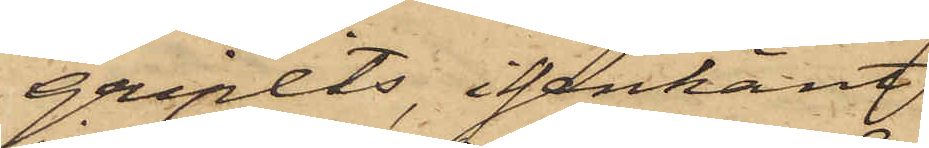gripits, igenkänt
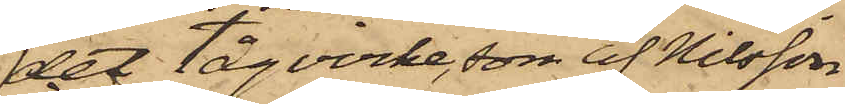det tågvirke, som af Nilsson
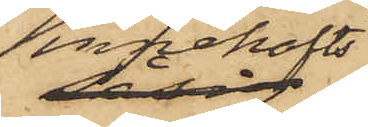innehafts
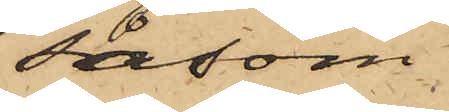såsom
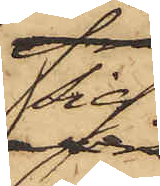sig
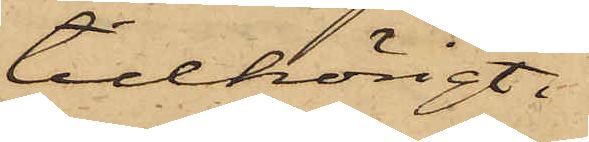tillhörigt.
